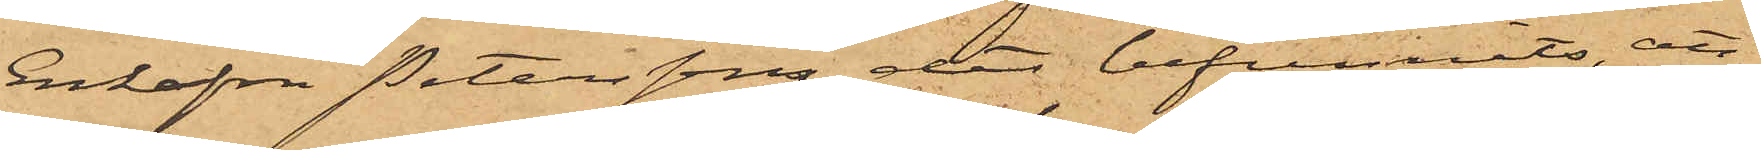Enkefru Petersson det befunnits, att
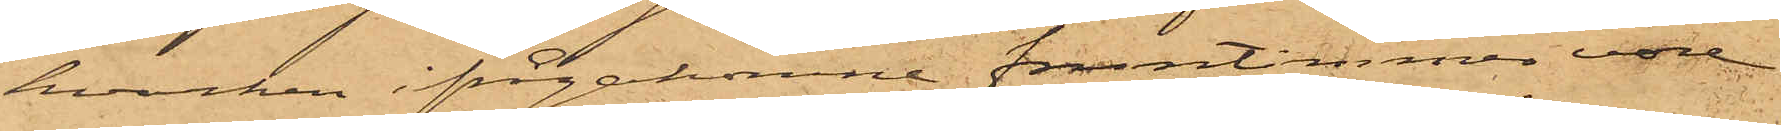hvarken ifrågakomne fruntimmer vore
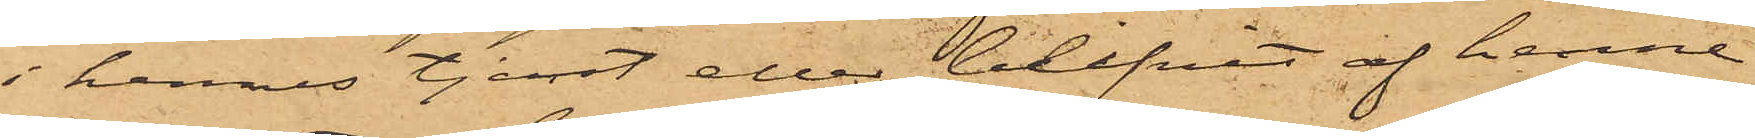i hennes tjenst eller blifvit af henne
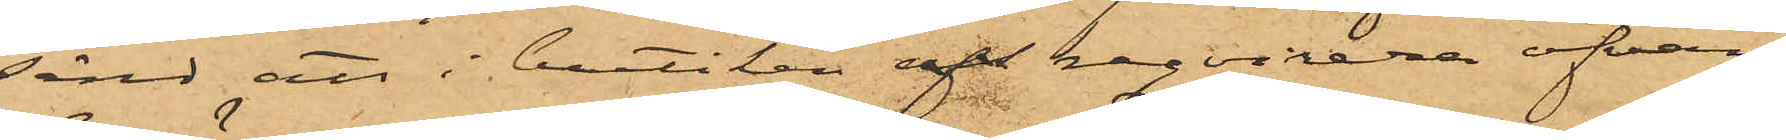sänd att i butiken utreqvirera ofvan¬
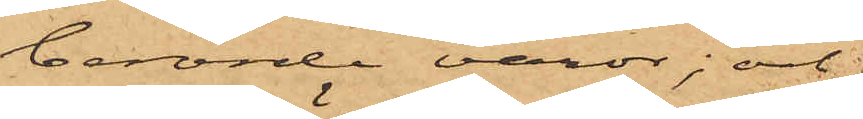berörde varor; och
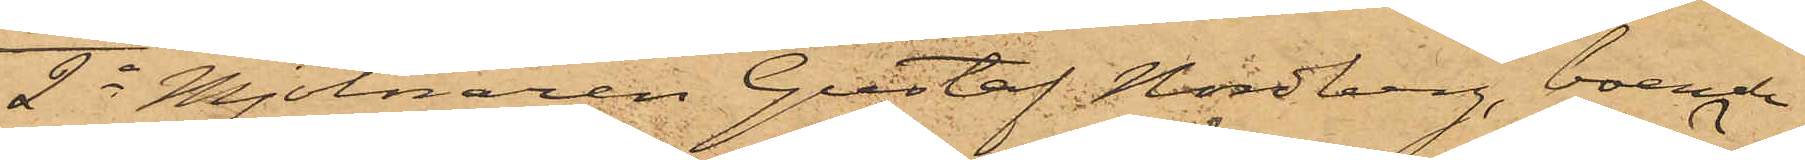2o Mjölnaren Gustaf Nordberg, boende
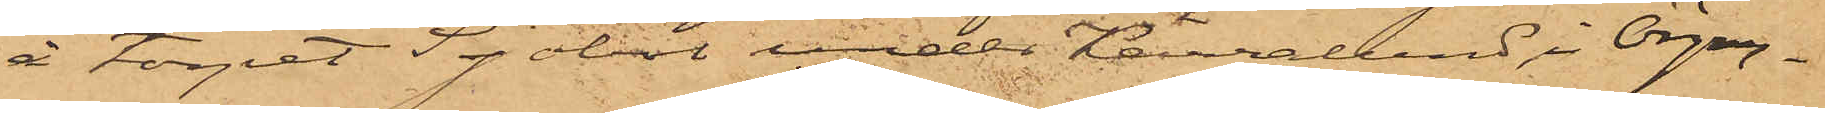å torpet Sjöbol under Kärralund i Örgryt¬
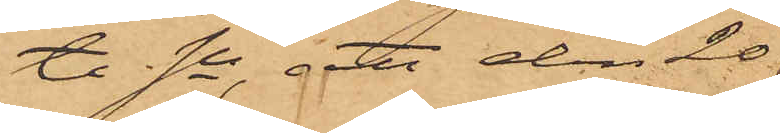te  Sn, att den 20
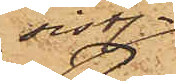sist.
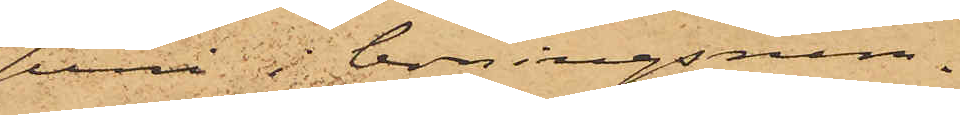Juni  i boningsrum¬
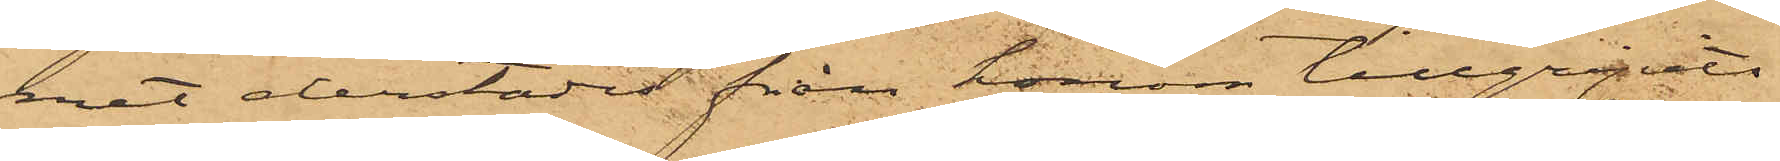met derstädes från honom tillgripits
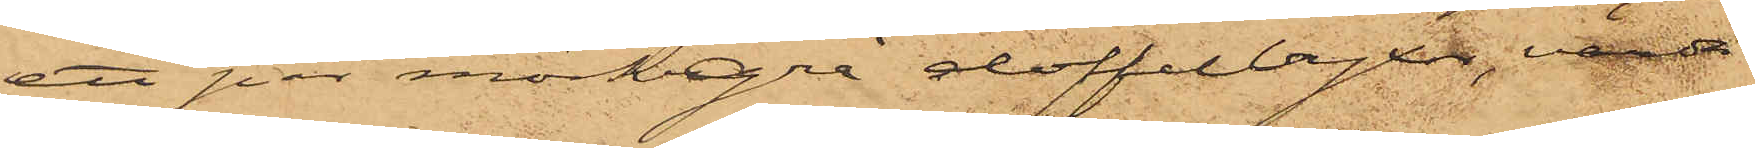att par mörkgrå doffelbyxor, värde 
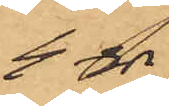4 rdr.
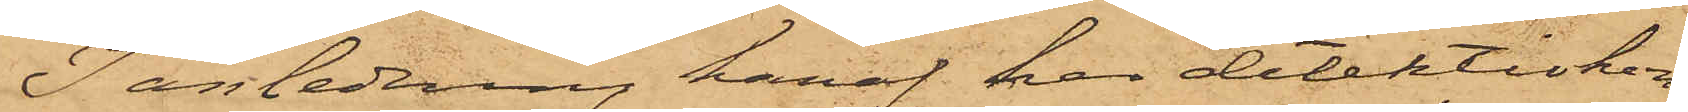I anledning häraf har detektivkon¬
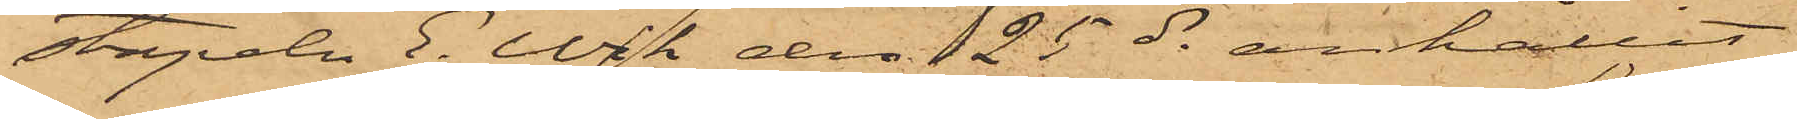stapeln E. Wik den 25 ds anhållit
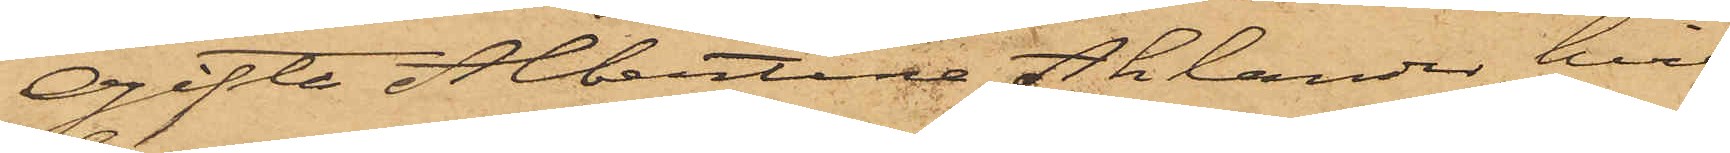Ogifta Albertina Ahlander, hvil¬
